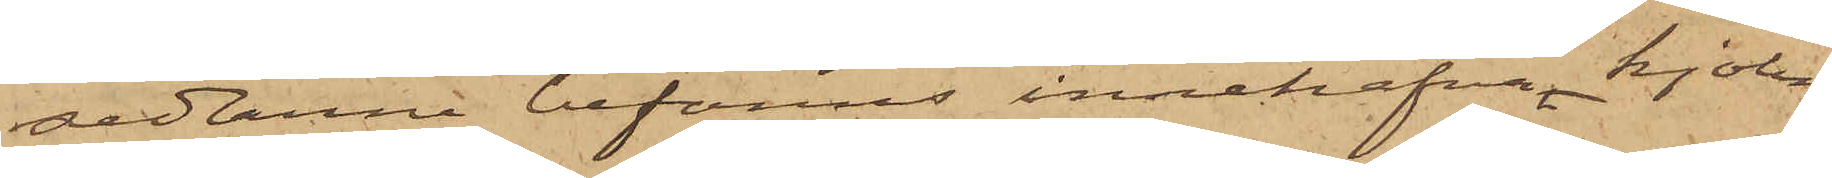sedlarne befanns innehafva kjolen
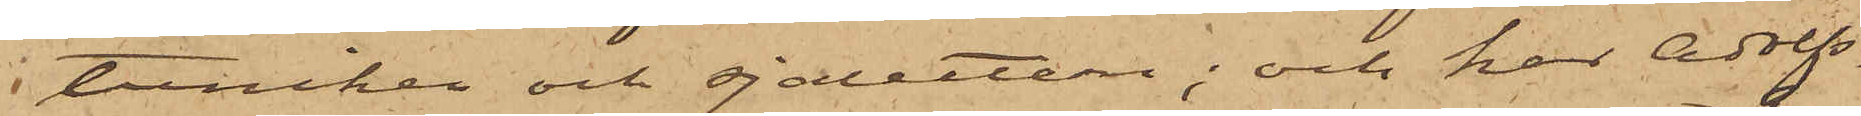tuniken och sjaletten; och har Adolfs¬
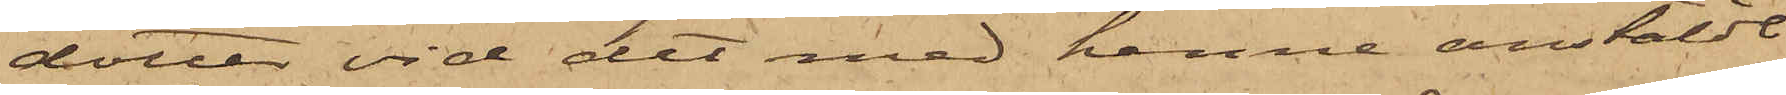dotter vid det med henne anstäldt
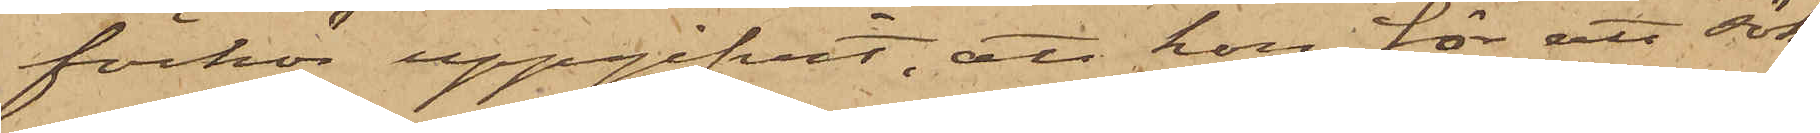förhör uppgifvit, att hon för att söka
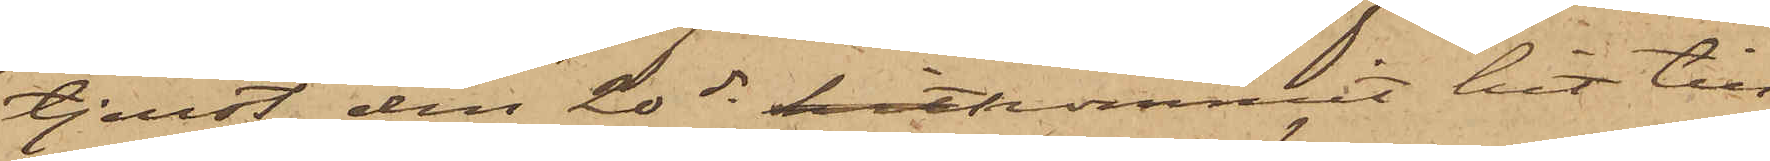tjenst den 20 ds hitkommit hit till
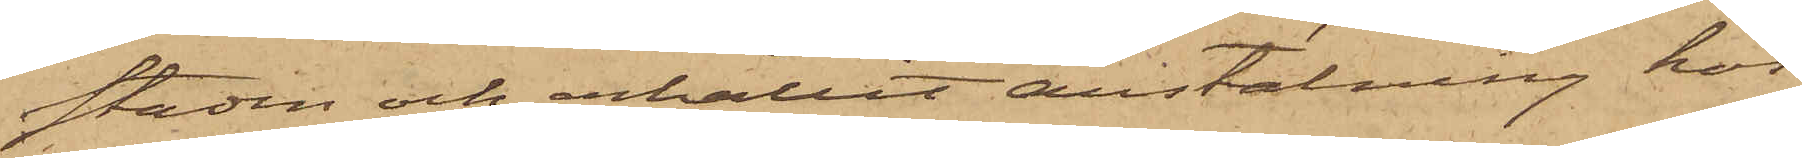staden och erhållit anstälning hos
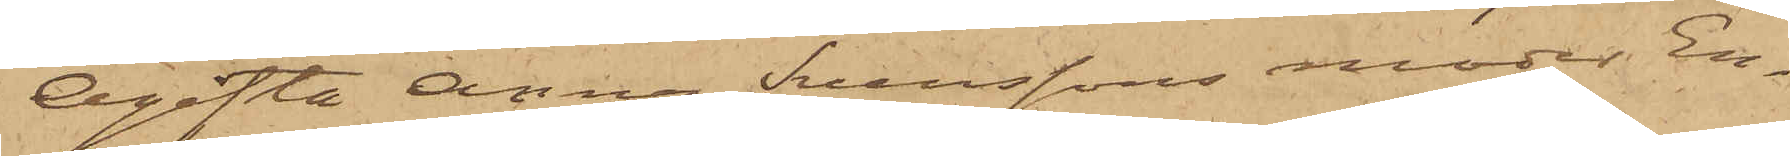Ogifta Anna Svenssons moder En¬
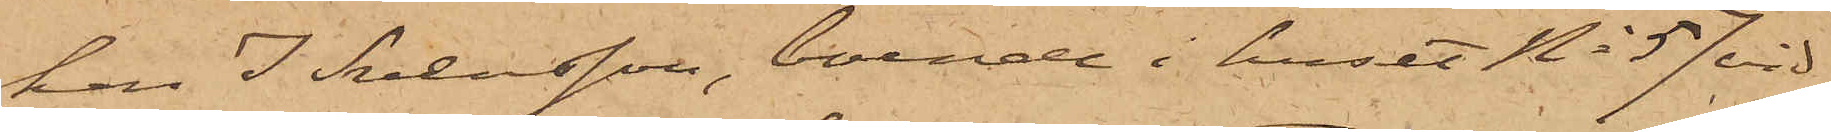kan I Svensson, boende i huset No 57 vid
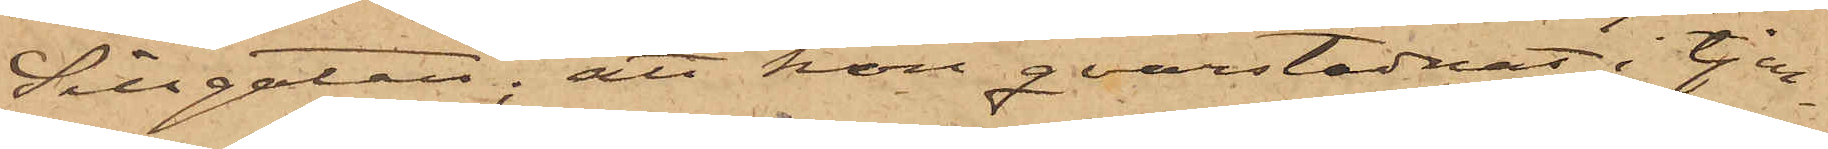Sillgatan; att hon qvarstadnat i tjen¬
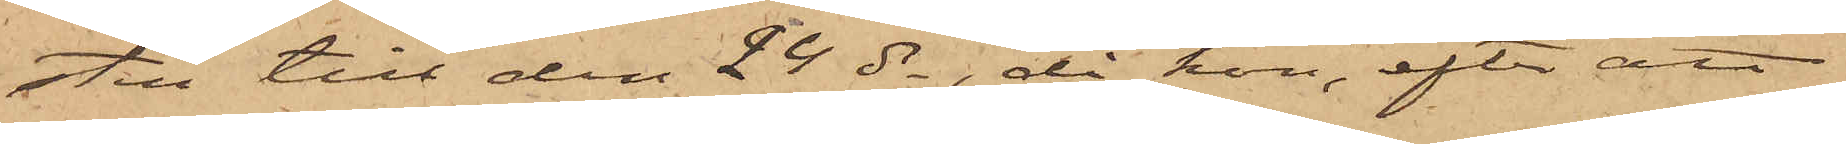sten till den 24 ds, då hon, efter att
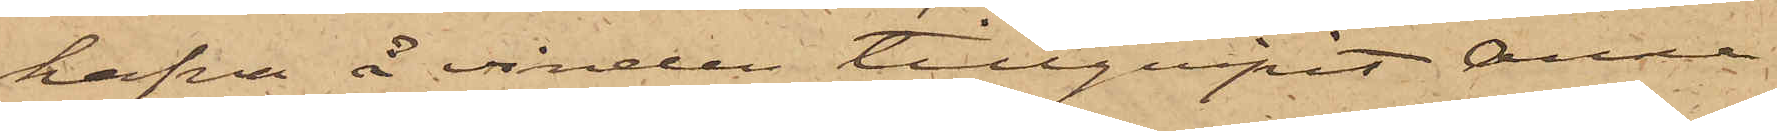hafva å vinden tillgripit Anna
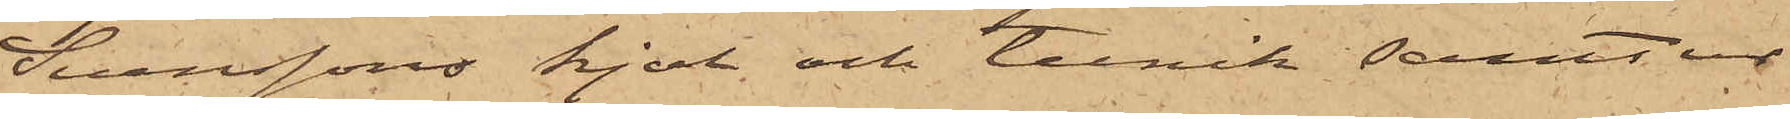Svenssons kjol och tunik samt ur
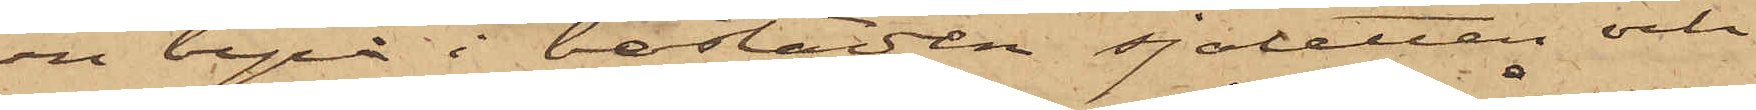en byrå i bostaden sjaletten och
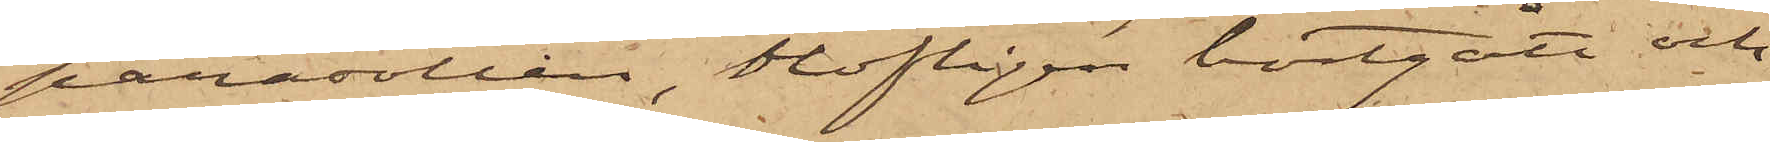parasollen, olofligen bortgått och
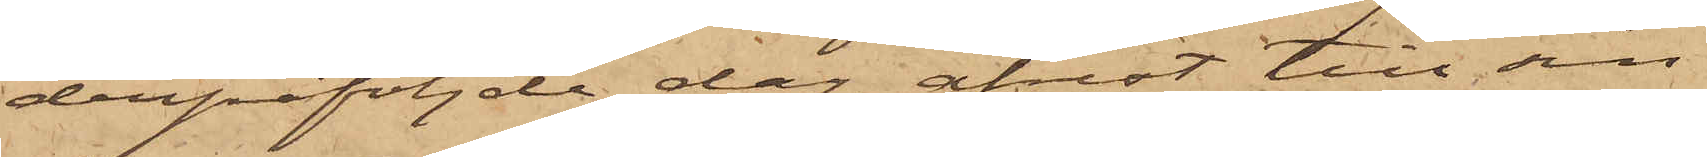derpåföljde dag afrest till sin
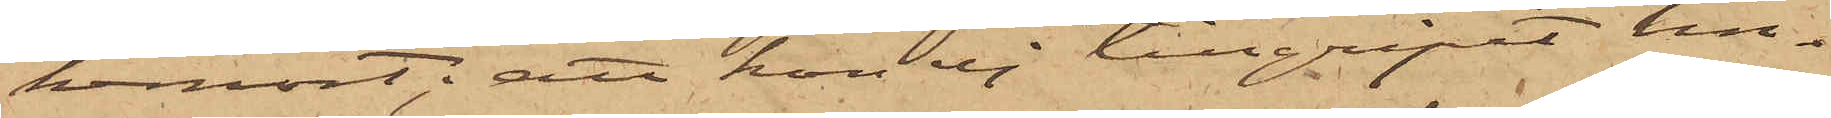hemort; att hon ej tillgripit lin¬
